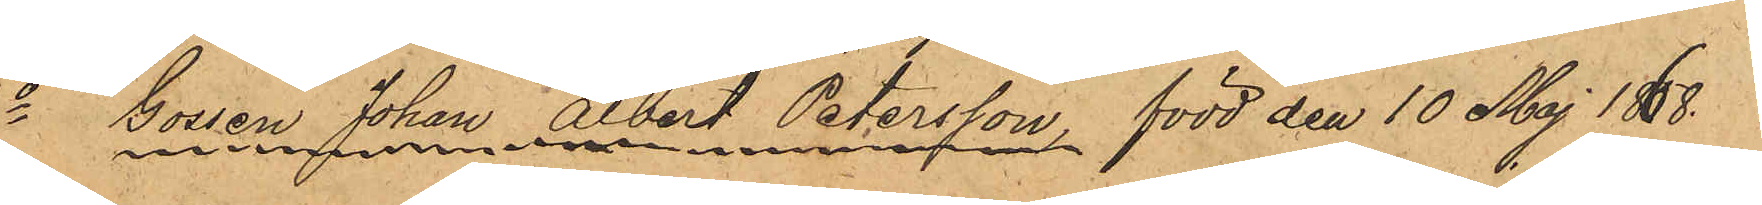1o Gossen Johan Albert Petersson, född den 10 Maj 1868.
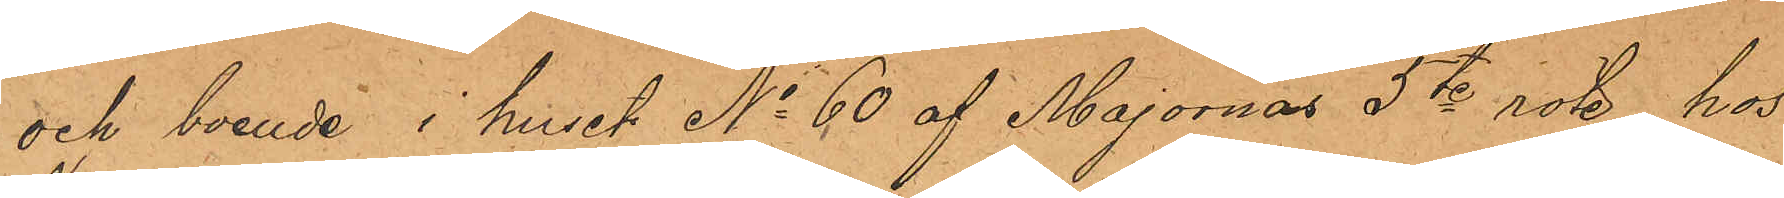och boende i huset No 60 af Majornas 5te rote, hos
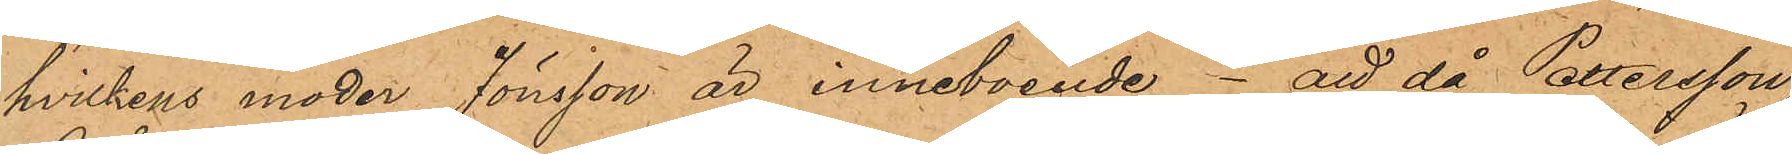hvilkens moder Jönsson är inneboende - att då Pettersson,
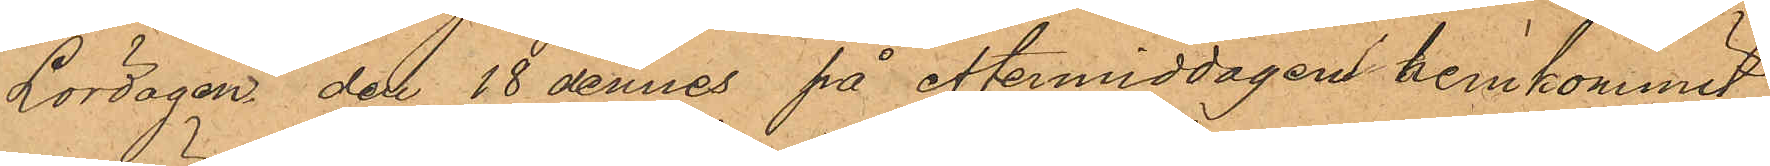Lördagen den 18 dennes på eftermiddagen hemkommit,
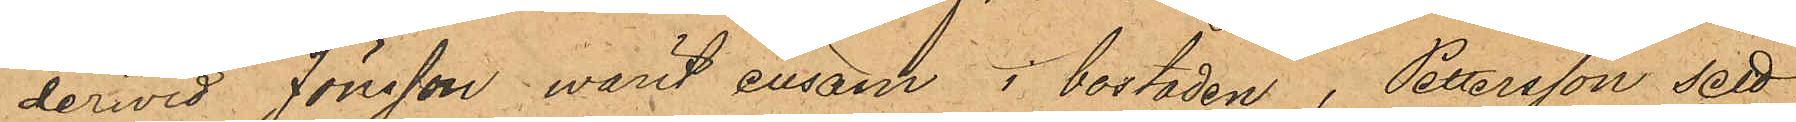dervid Jönsson varit ensam i bostaden, Petersson sett
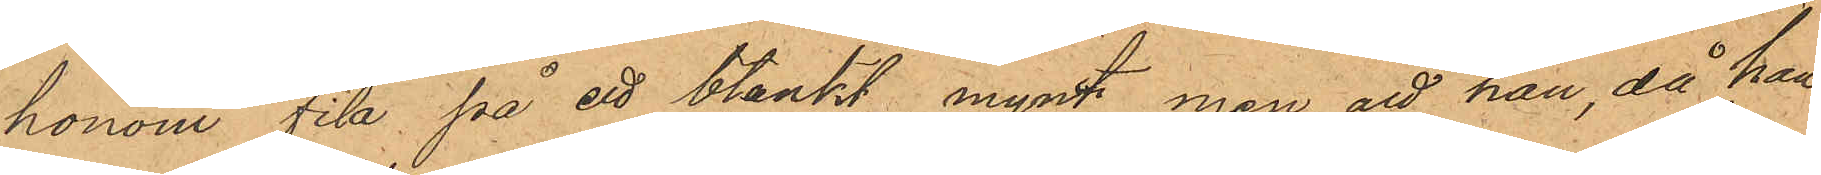honom fila på ett blankt mynt, men att han, då han
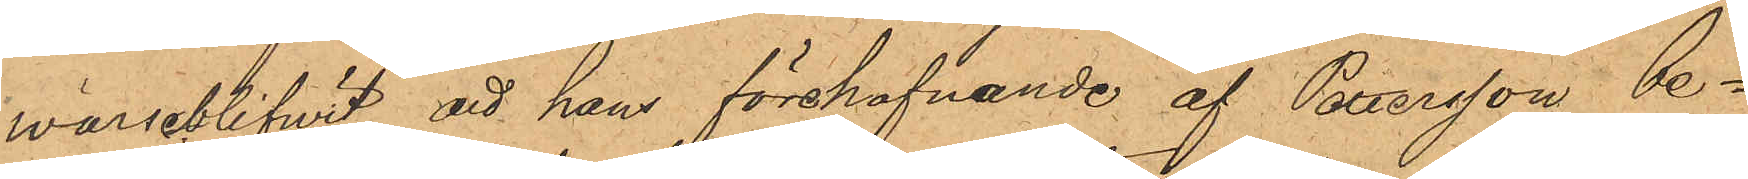warseblifwit att hans förehafvande af Petersson be¬
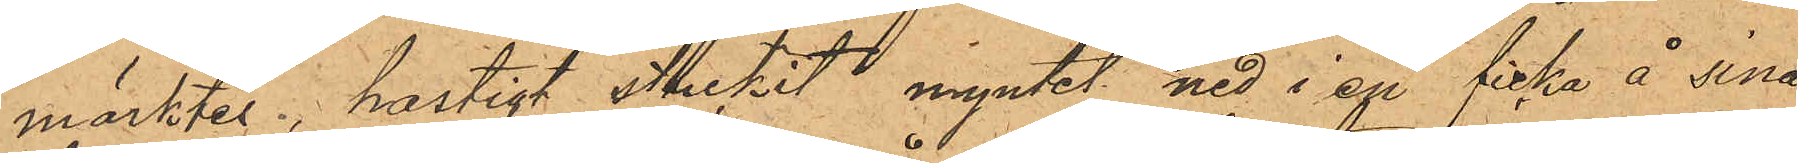märktes, hastigt stuckit myntet ned i en ficka å sina
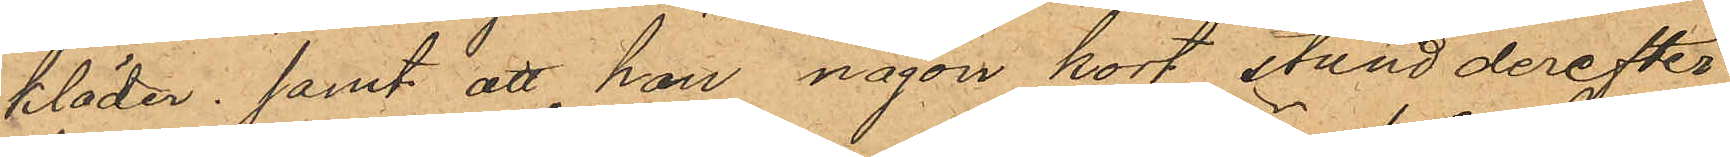kläder samt att han någon kort stund derefter
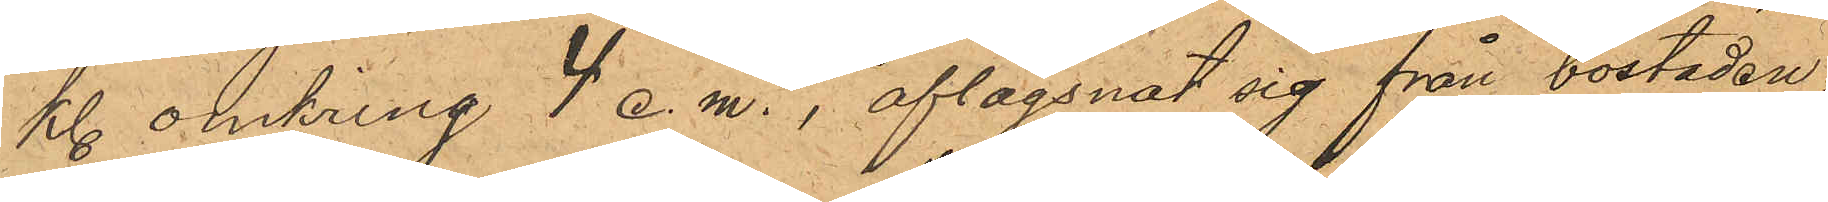kl. omkring 4 e. m., i aflägsnat sig från bostaden.
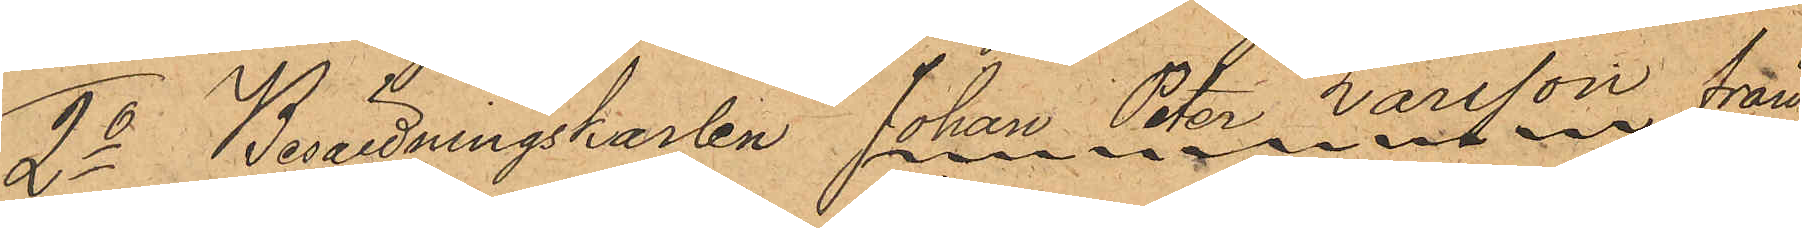2o Besättningskarlen Johan Peter Larsson från
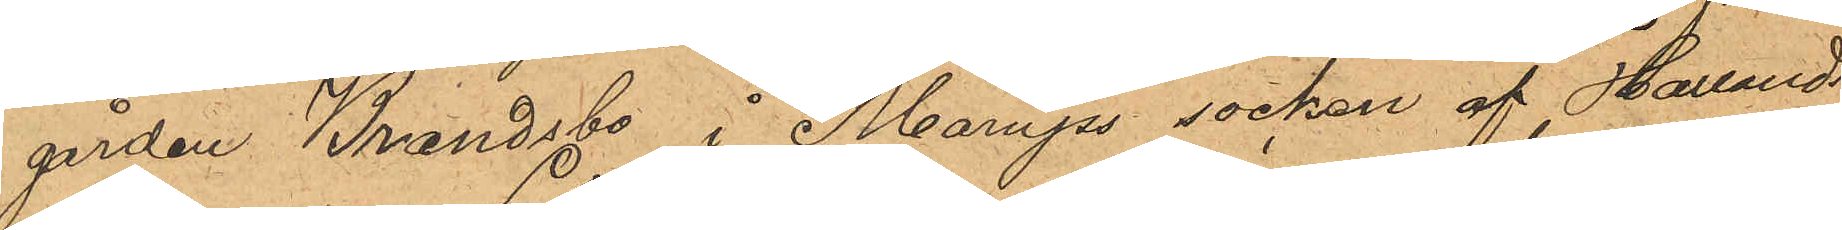gården Brandsbo, i Marups socken af Hallands
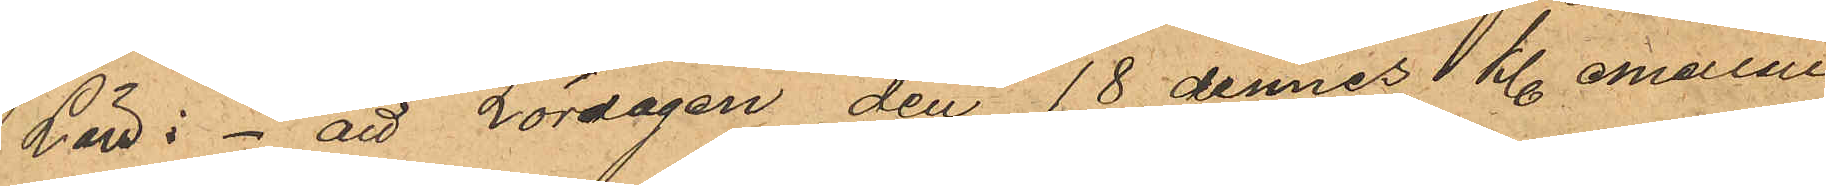Län: - att Lördagen den 18 dennes kl. emellan
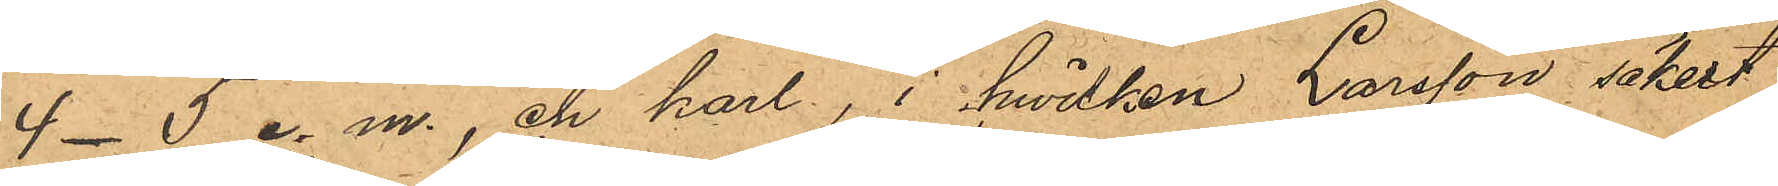4-5 e. m., en karl, i hvilken Larsson säkert
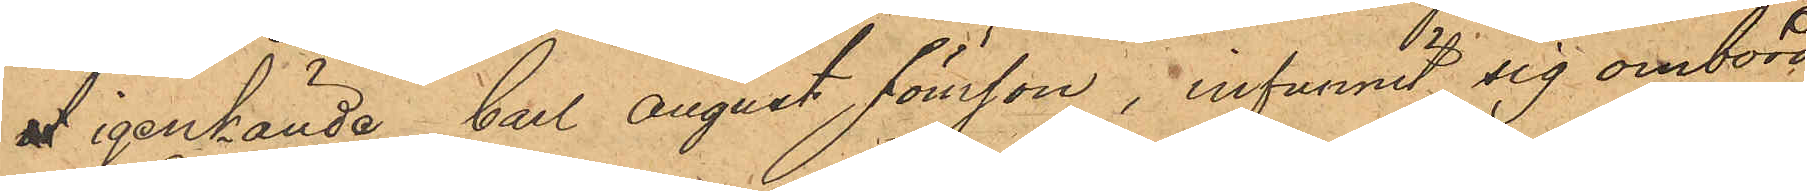ut igenkände Carl August Jönsson, infunnit sig ombord
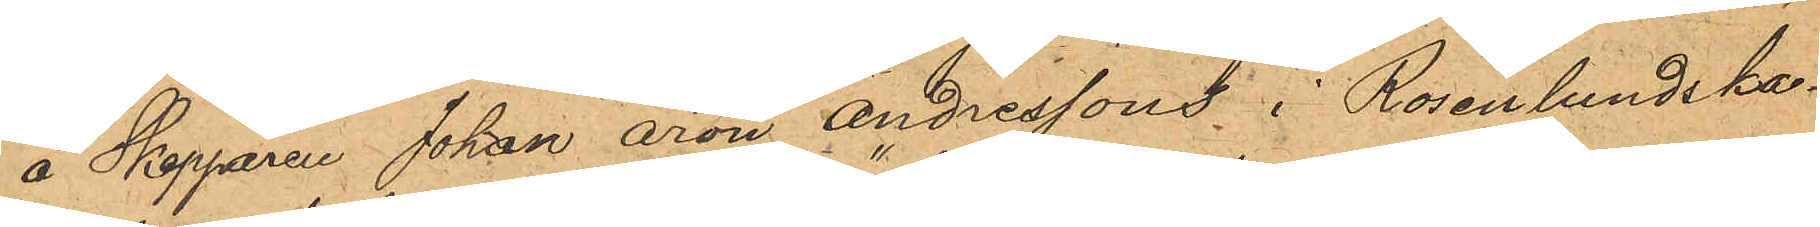å Skepparen Johan Aron Andressons i Rosenlundska¬
